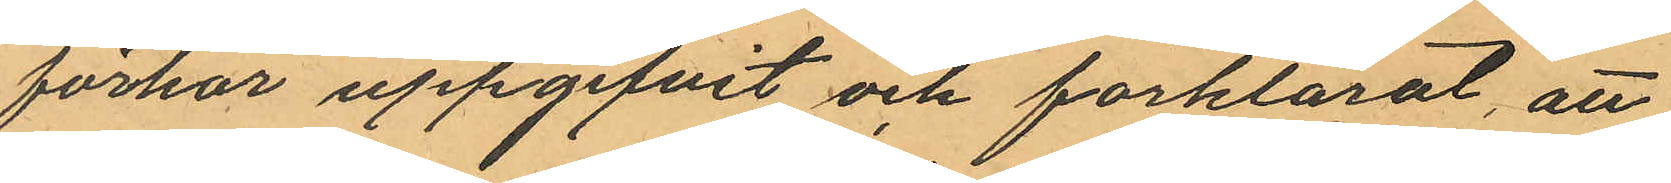förhör uppgifvit och förklarat, att
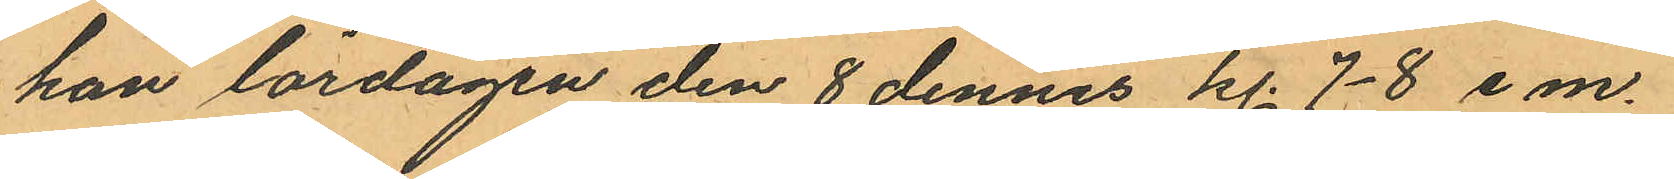han lördagen den 8 dennes kl. 7-8 e m.
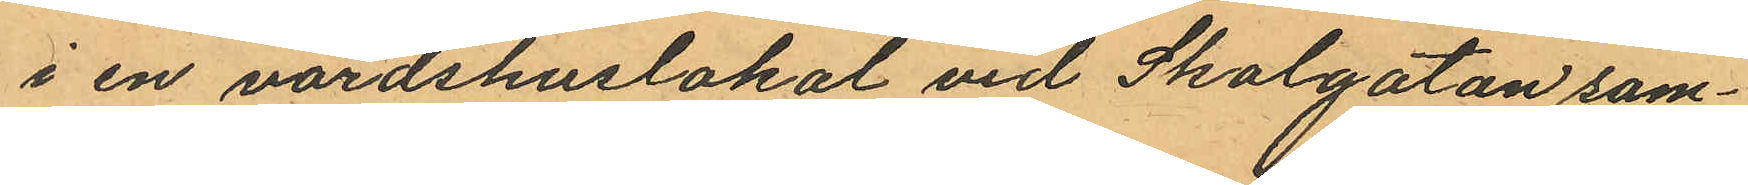i en värdshuslokal vid Skolgatan sam¬
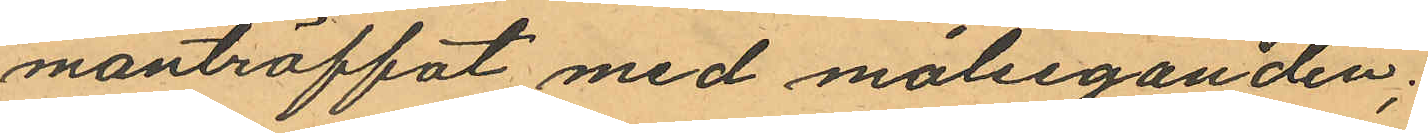manträffat med målseganden;
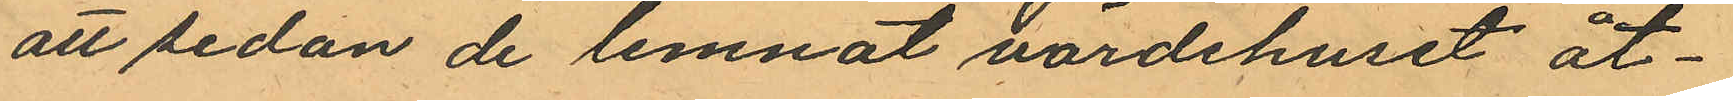att sedan de lemnat värdshuset åt¬
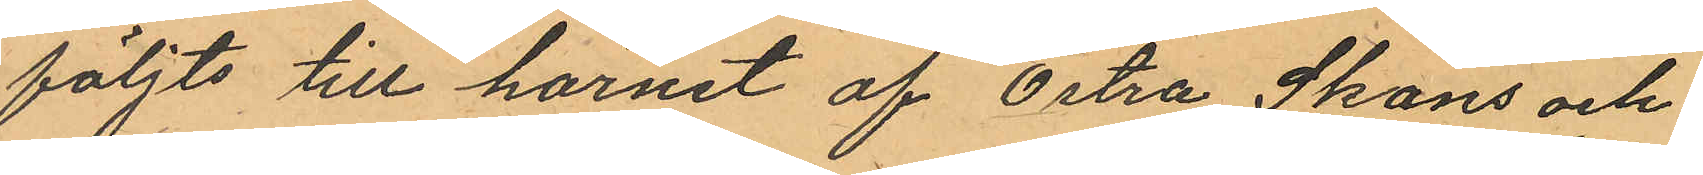följts till hörnet af Östra Skans och
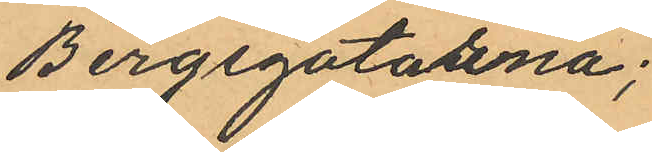Bergsgatorna;
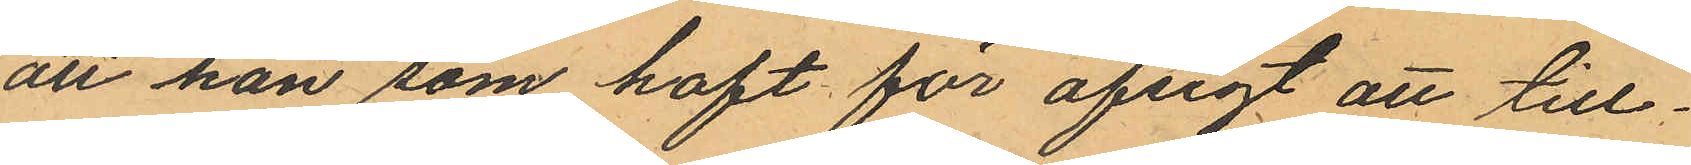att han som haft för afsigt att till¬
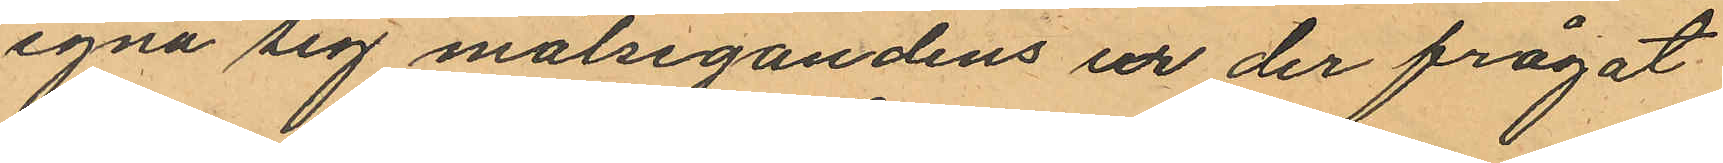egna sig målsegandens ur der frågat
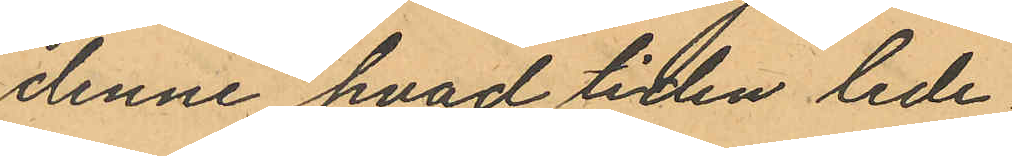denne hvad tiden lede
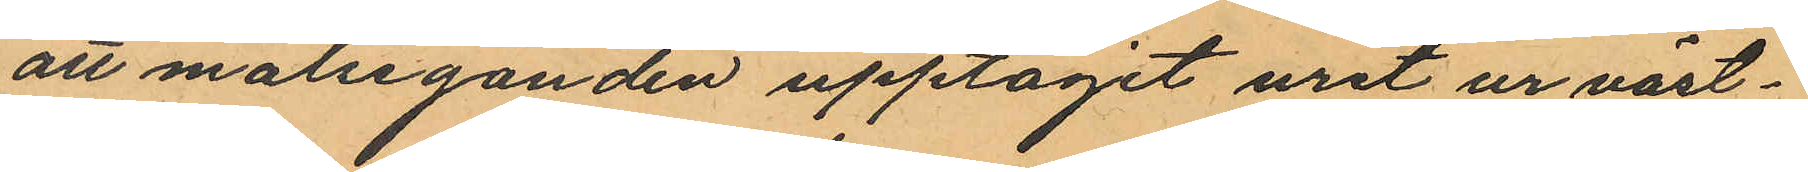att målseganden upptagit uret ur väst¬
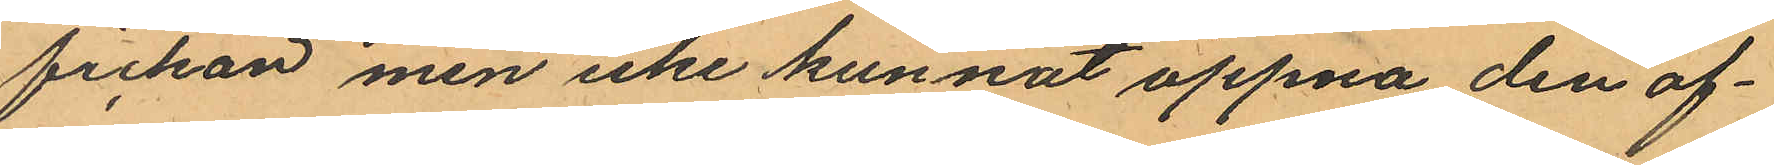fickan men icke kunnat öppna den öf¬
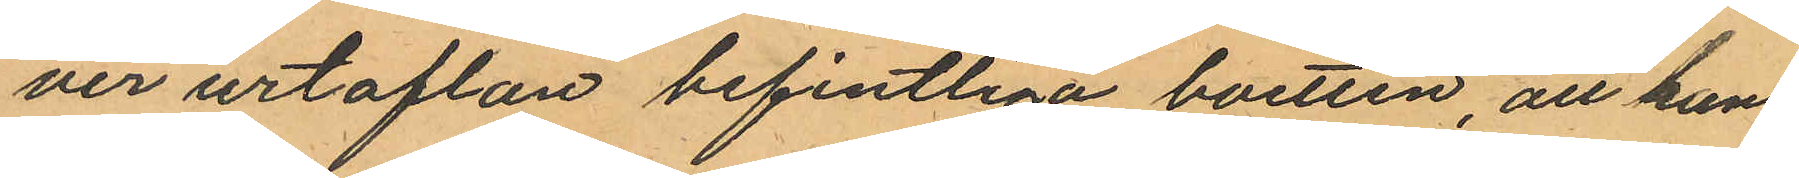ver urtaflan befintliga boetten, att han
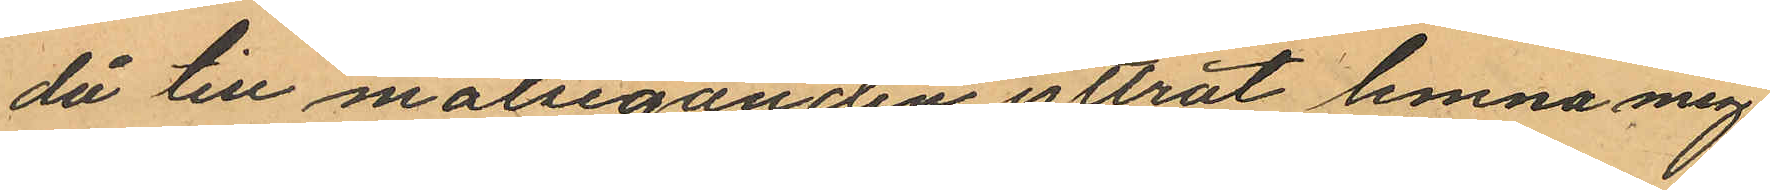då till målseganden yttrat lemna mig
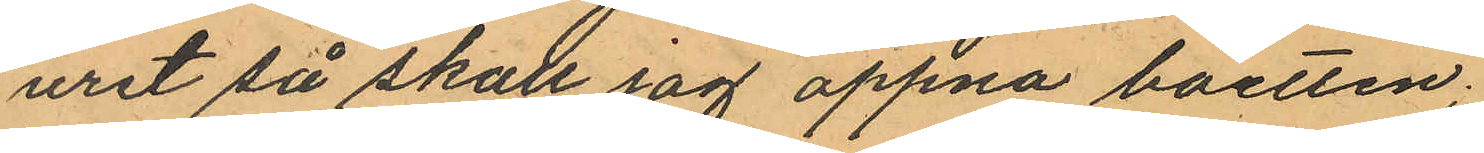uret så skall jag öppna boetten;
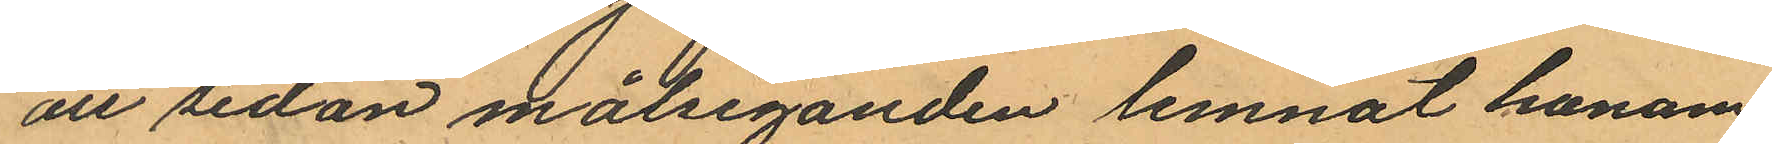att sedan målseganden lemnat honom
